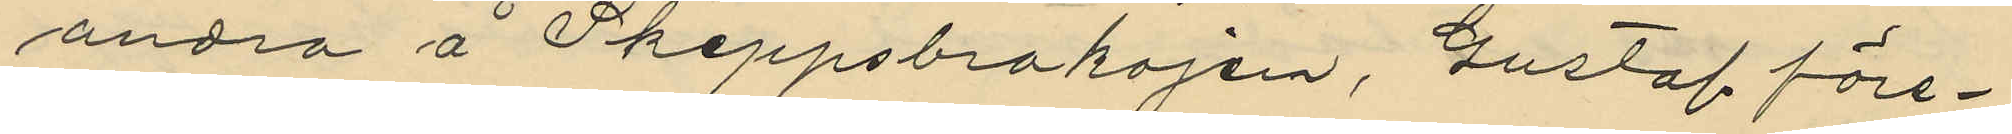andra å Skeppsbrokajen, Gustaf före¬
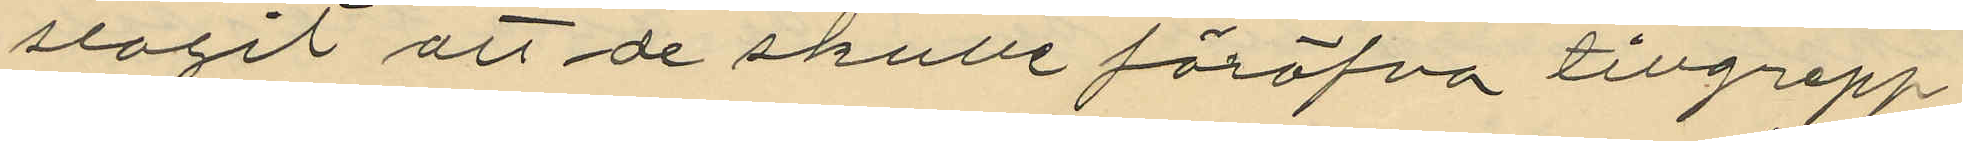slagit att de skulle föröfva tillgrepp
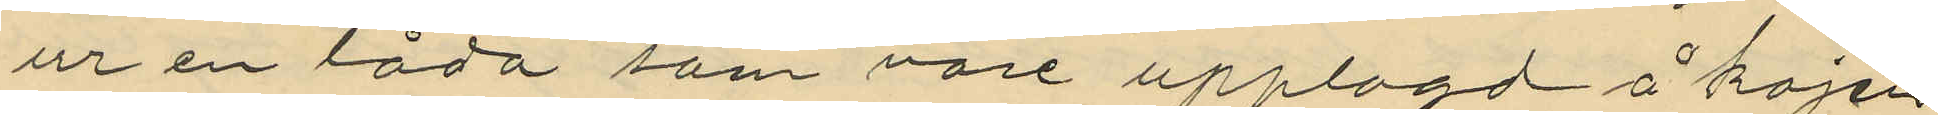ur en låda som vore upplagd å kajen
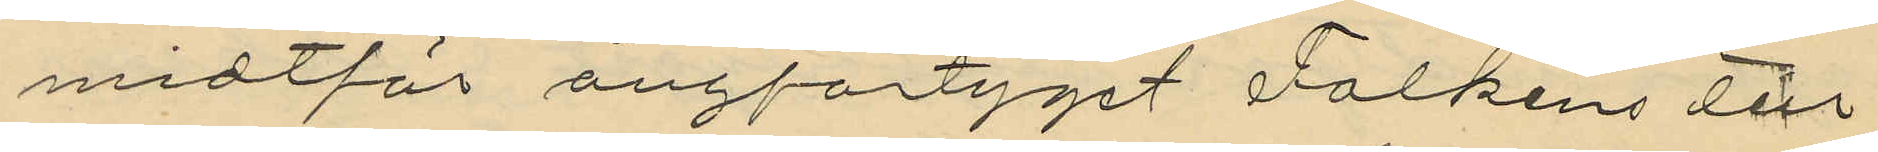midtför ångfartyget Falkens till¬
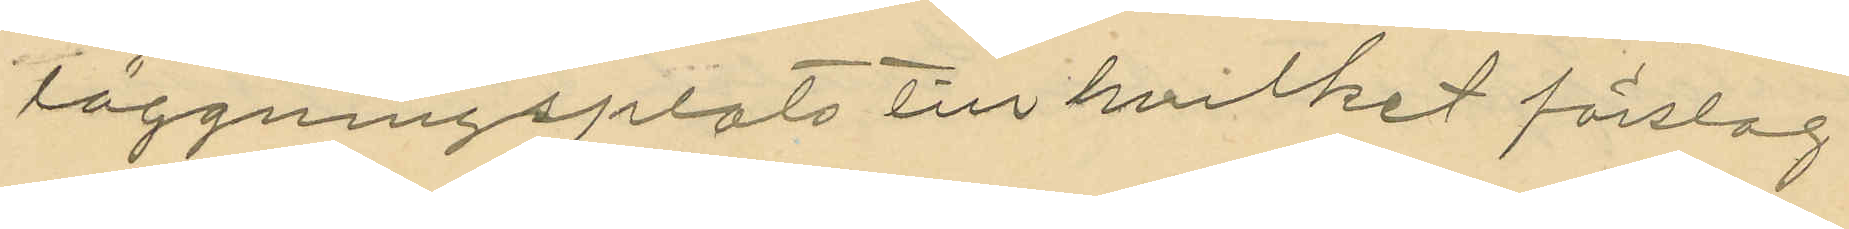läggningsplats till hvilket förslag
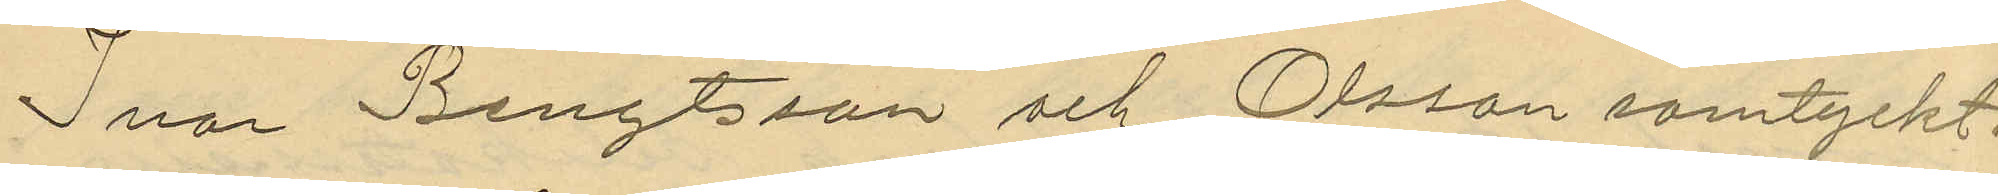Ivar Bengtsson och Olsson samtyckt,
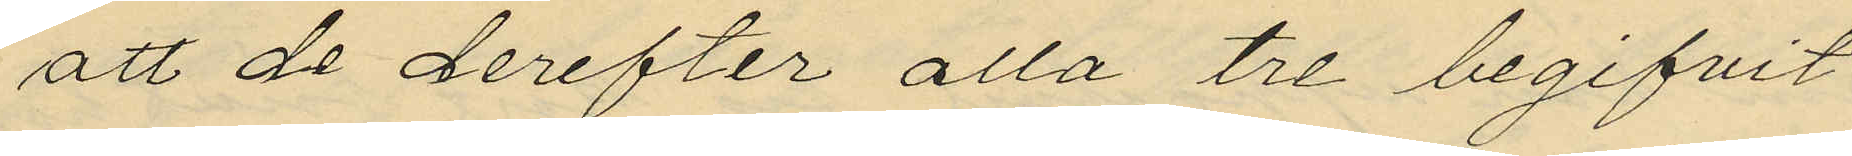att de derefter alla tre begifvit
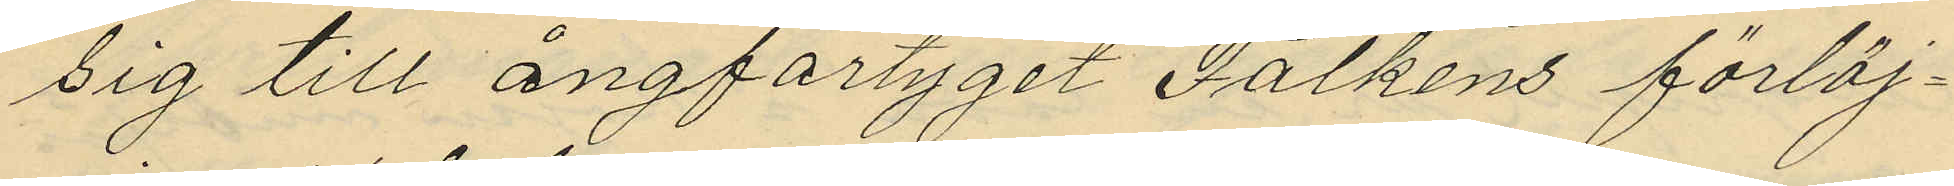sig till ångfartyget Falkens förtöj¬
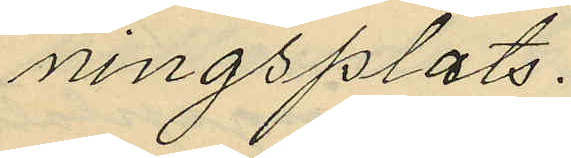ningsplats.
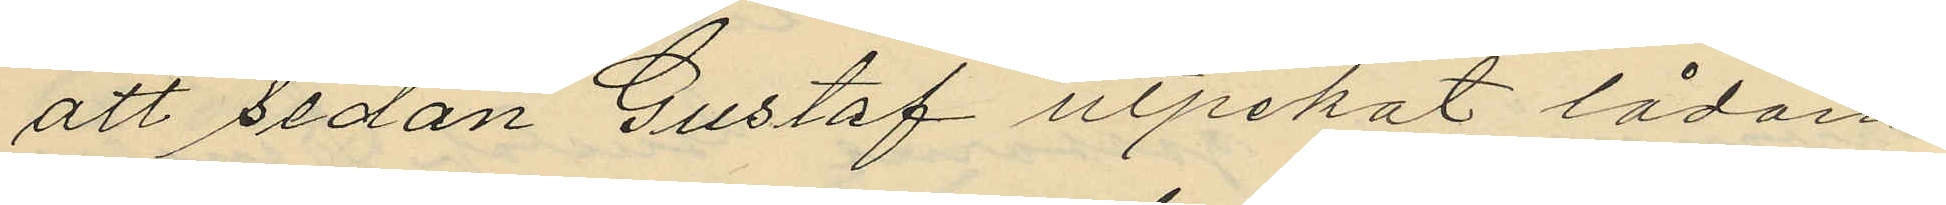att sedan Gustaf utpekat lådan,
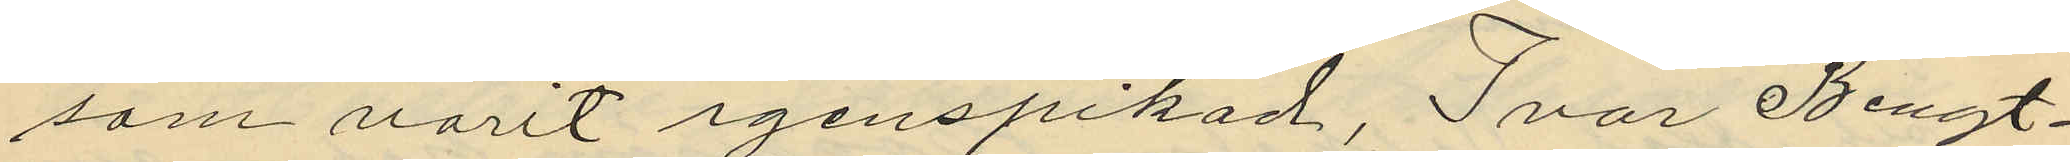som varit igenspikad, Ivar Bengt¬
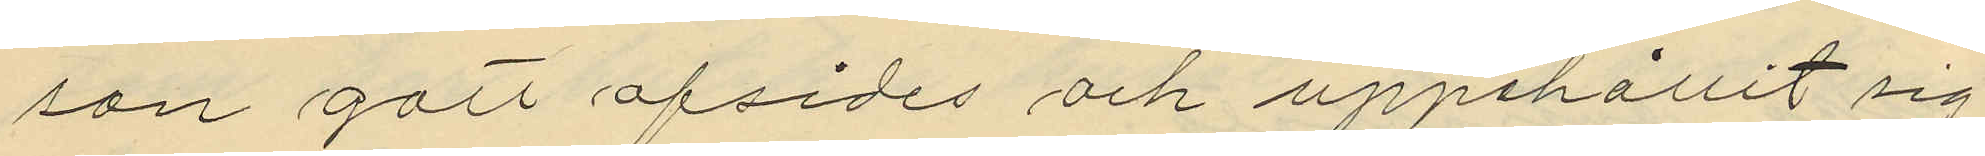son gått afsides och uppehållit sig
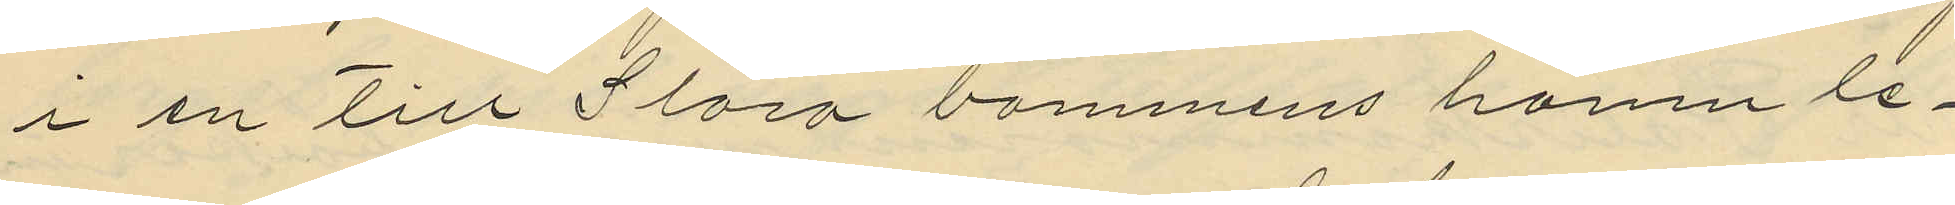i en till Stora bommens hamn le¬
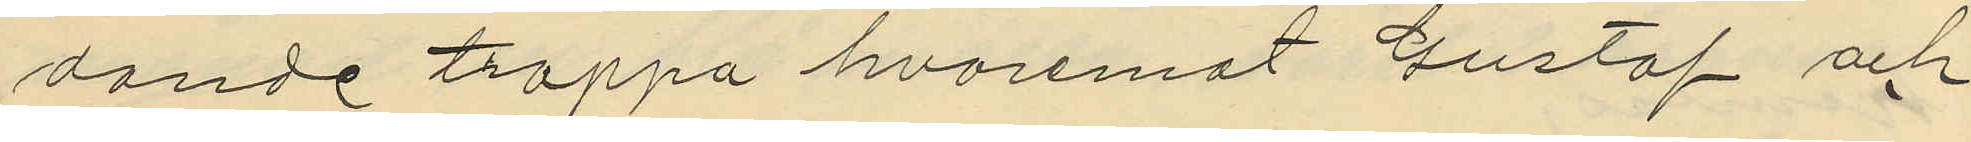dande trappa hvaremot Gustaf och
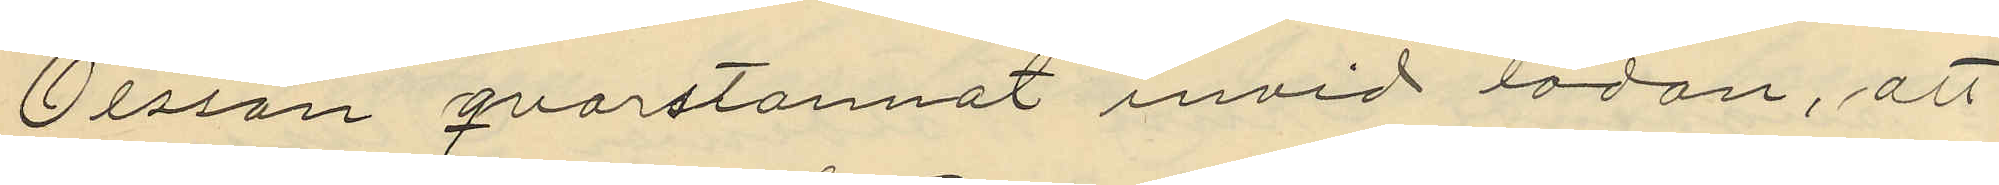Olsson qvarstannat invid lådan, att
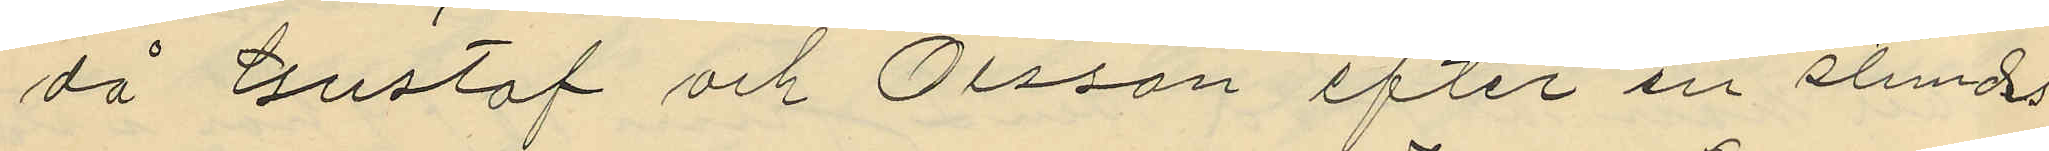då Gustaf och Olsson efter en stunds
